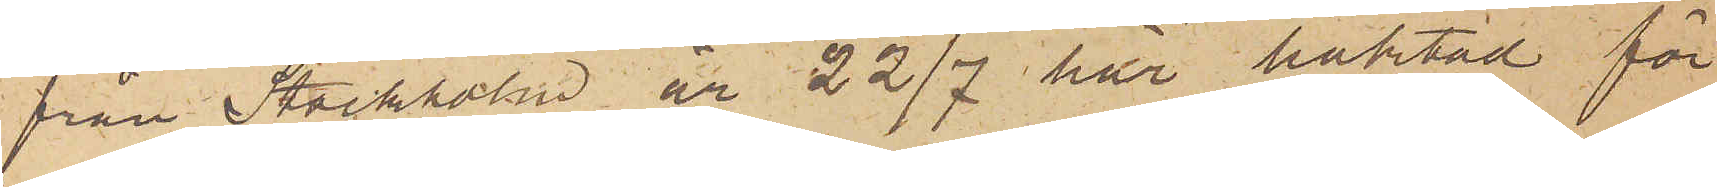från Stockholm är 22/7 här häktad för
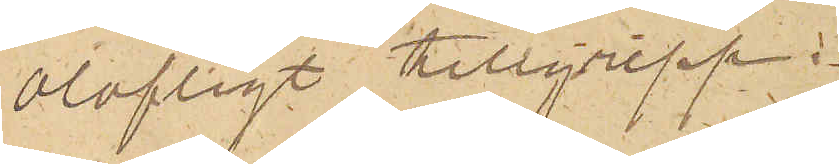olofligt tillgrepp.
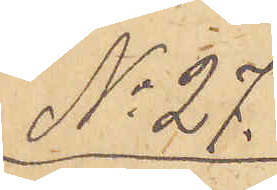No 27.
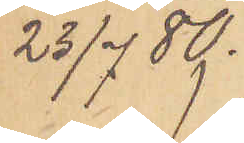23/7  80.
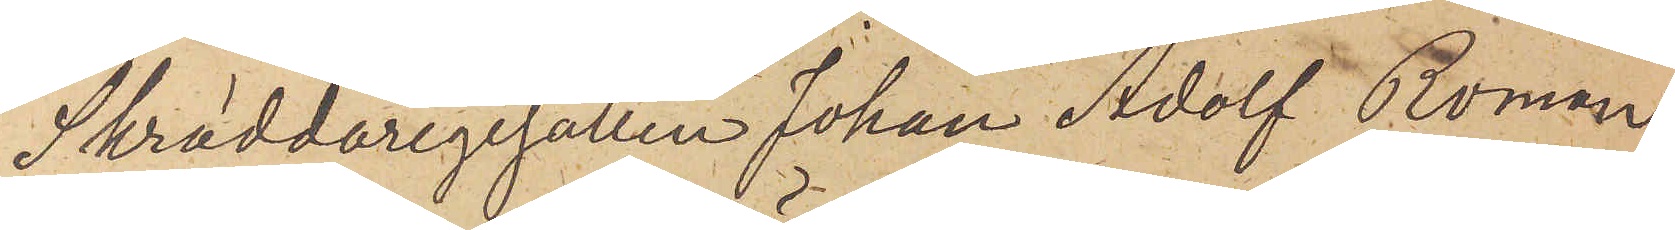Skräddaregesällen Johan Adolf Roman
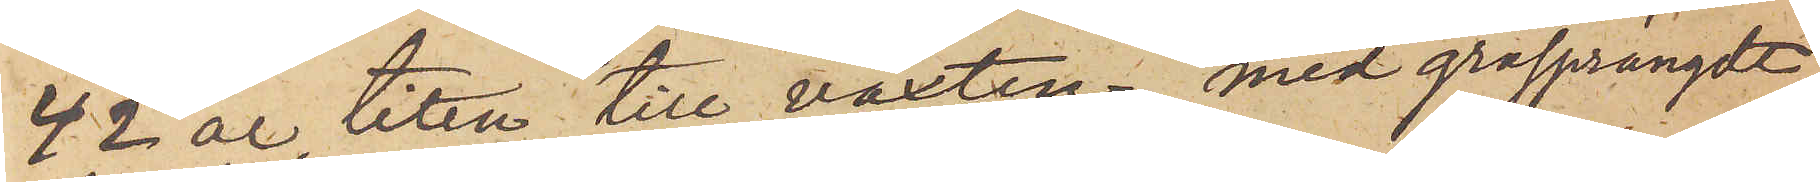42 år liten till växten, med gråsprängdt
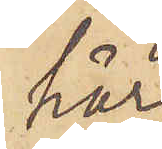hår
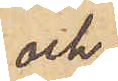och
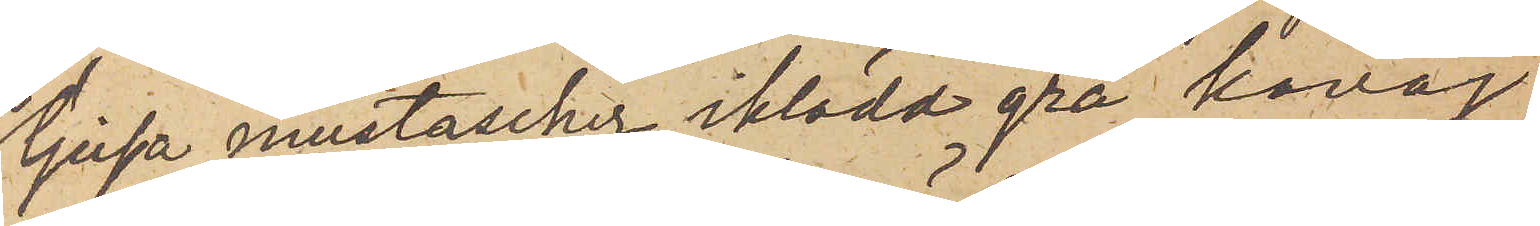ljusa mustascher, iklädd grå kavaj
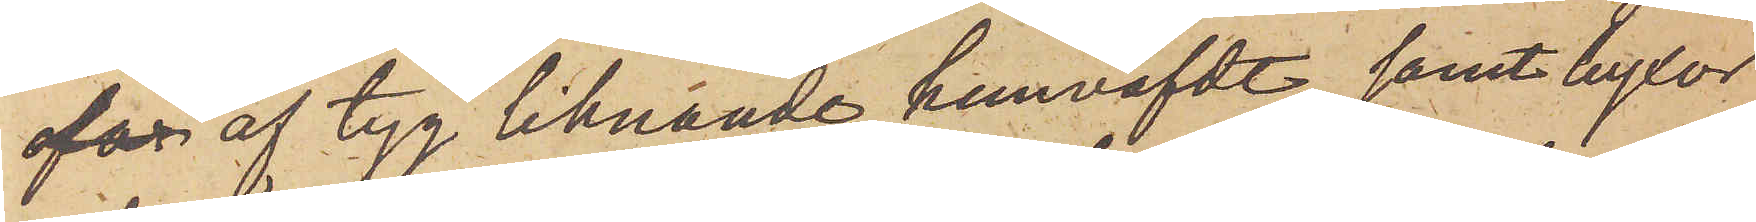ofar af tyg liknande hemväfdt, samt byxor
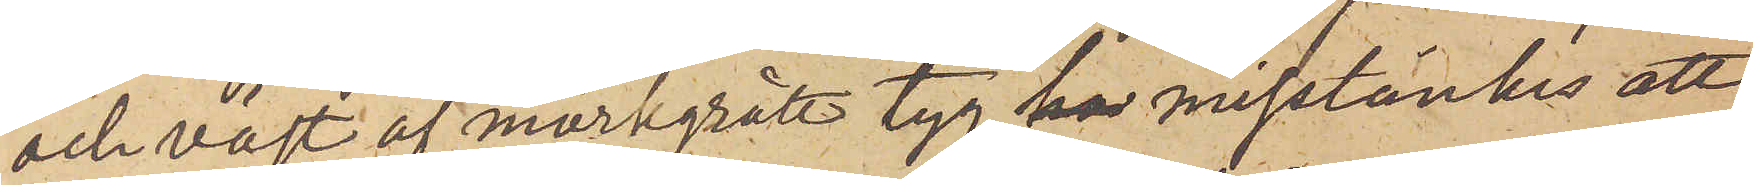och väst af mörkgrått tyg, ha misstänkes att
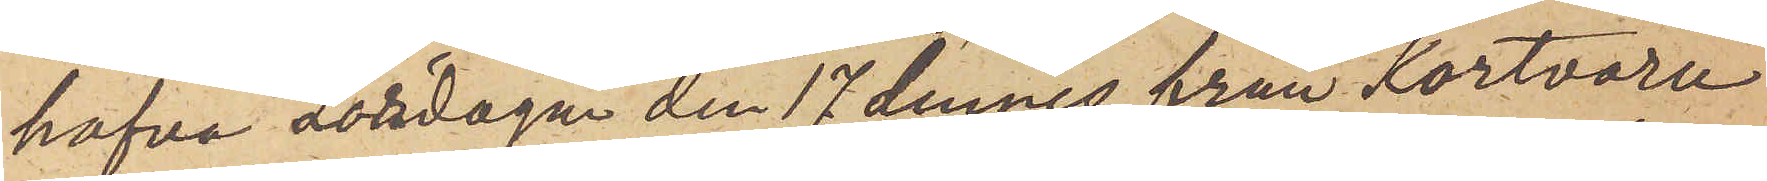hafva Lördagen den 17 dennes från Kortvaru¬
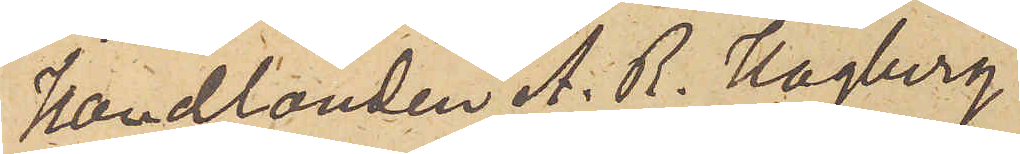Handlanden A. R. Hagberg
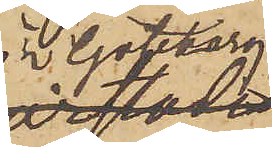i Göteborg,
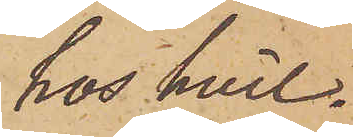hos hvil¬
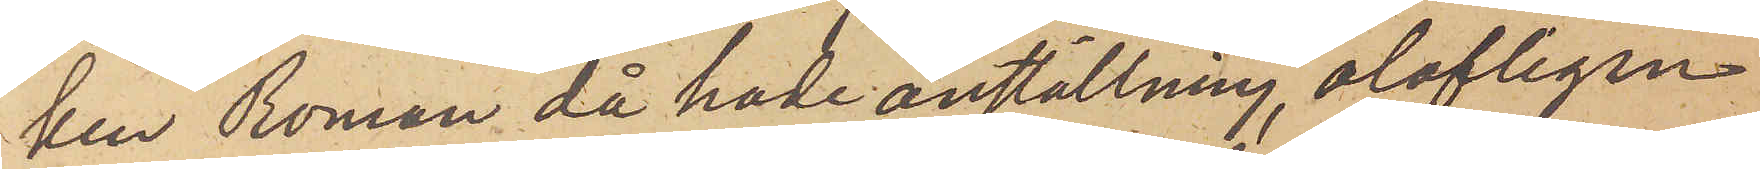ken Roman då hade anställning, olofligen
